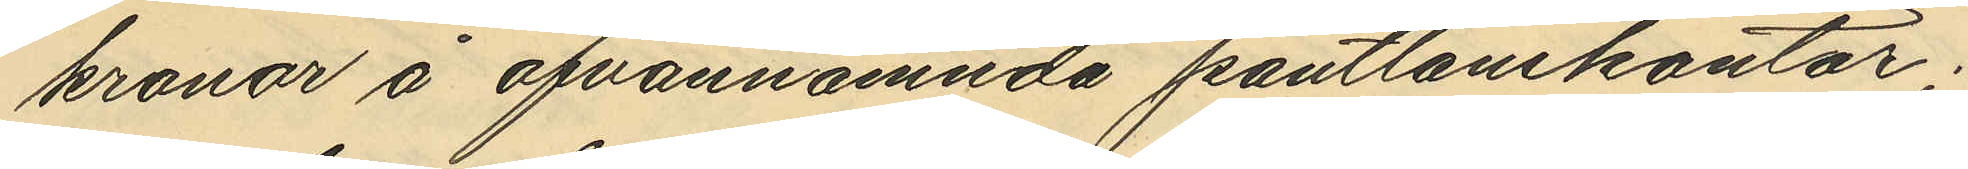kronor å ofvannämnda pantlånekontor;
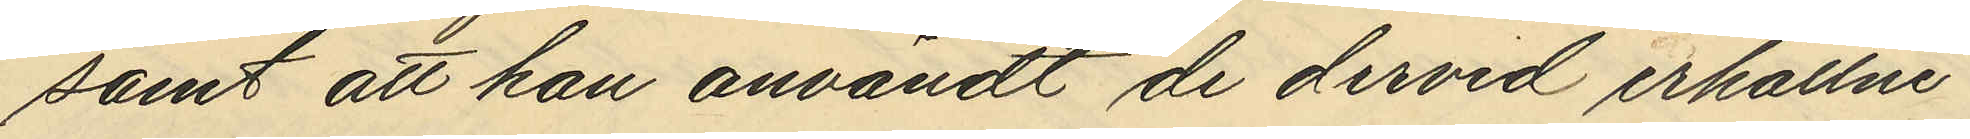samt att han användt de dervid erhållne
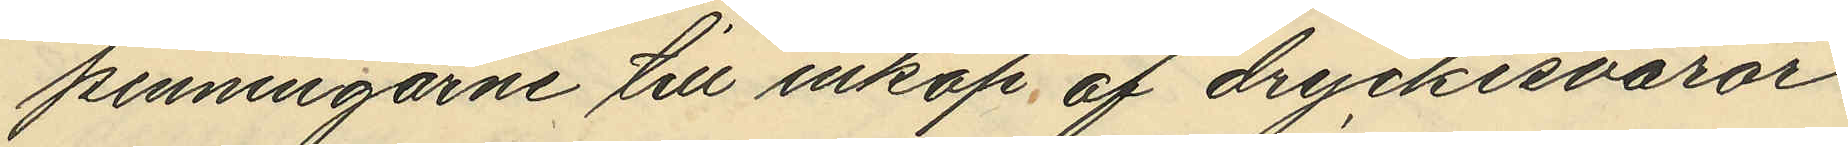penningarne till inköp af dryckesvaror
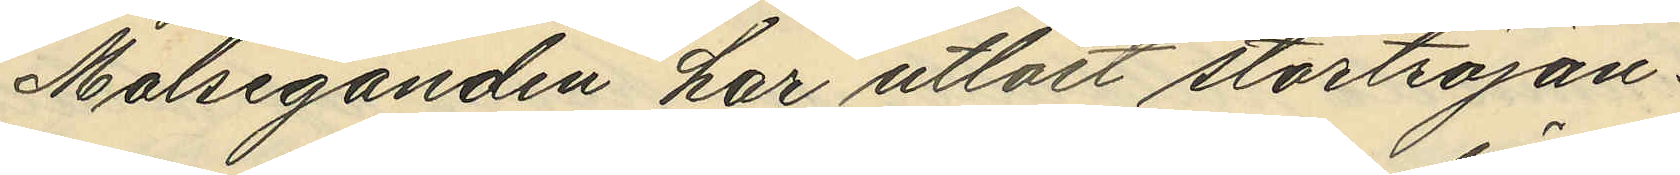Målseganden har utlöst stortröjan.
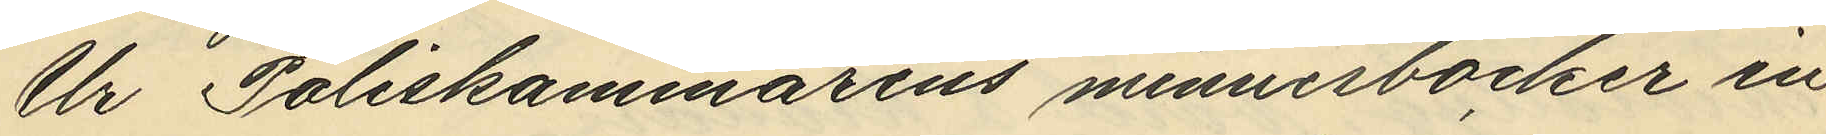Ur Poliskammarens minnesböcker in¬
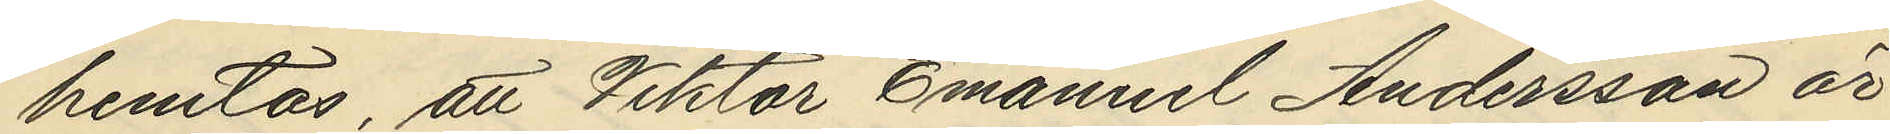hemtas, att Viktor Emanuel Andersson är
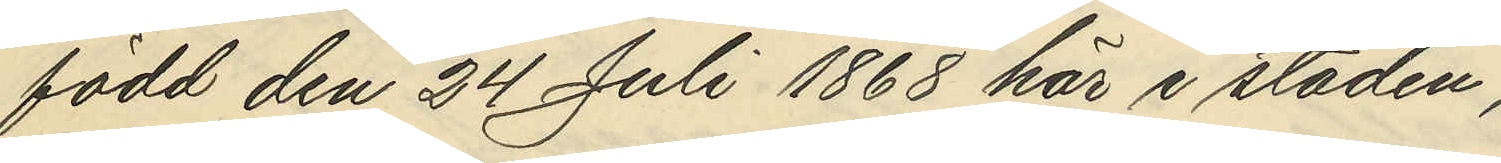född den 24 Juli 1868 här i staden;
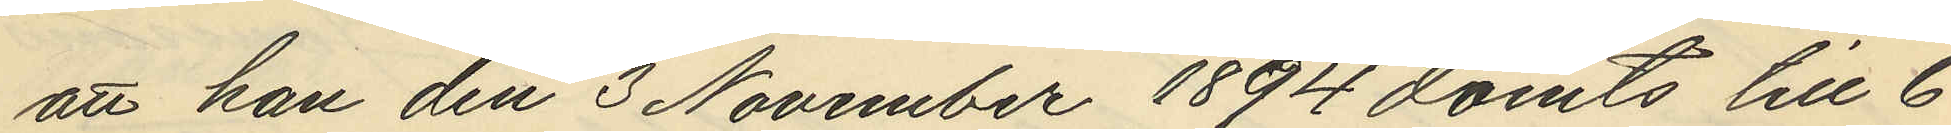att han den 3 November 1894 dömts till 6
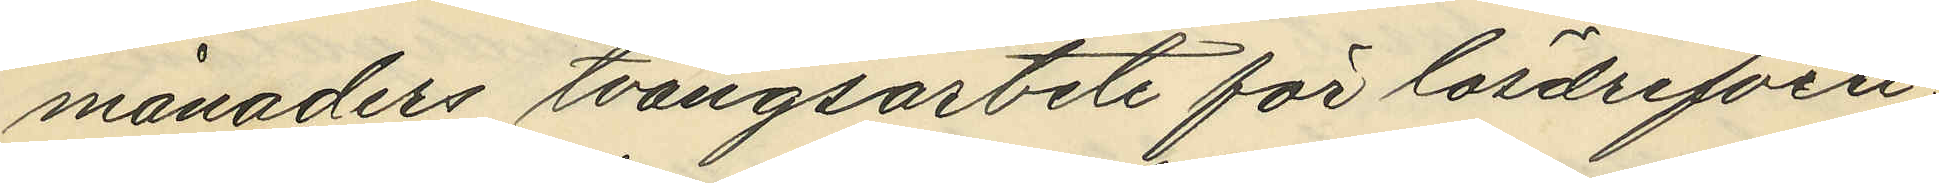månaders tvångsarbete för lösdrifveri
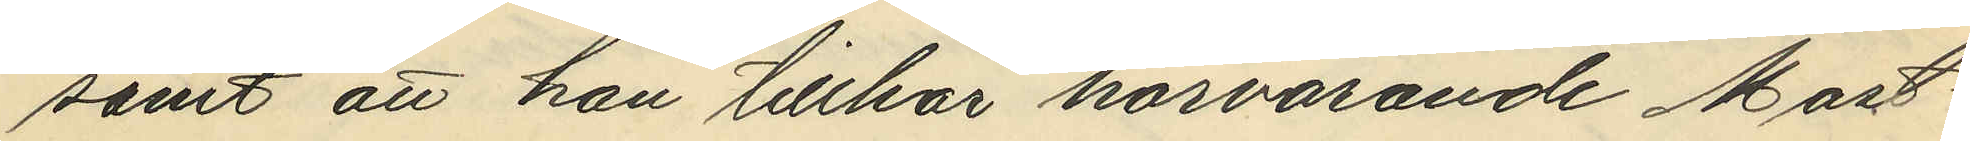samt att han tillhör härvarande Mast¬
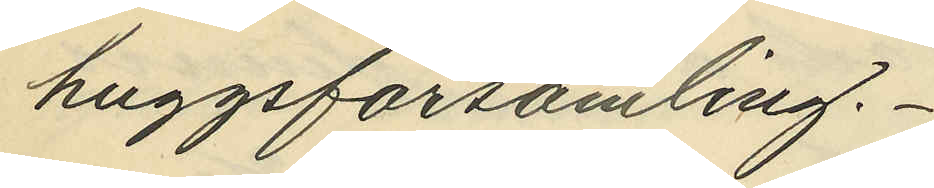huggsförsamling.
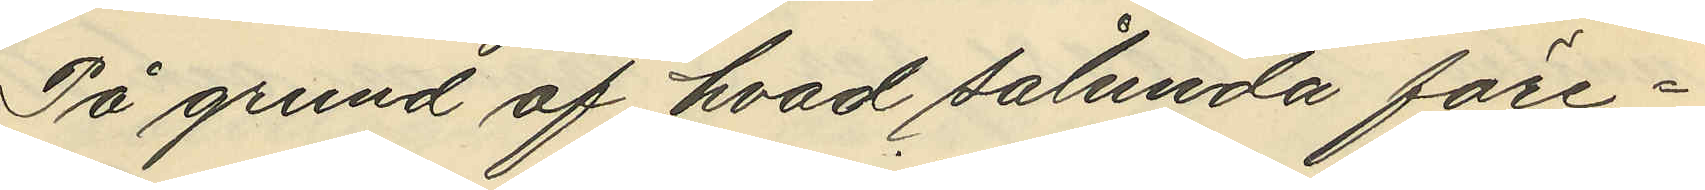På grund af hvad sålunda före¬
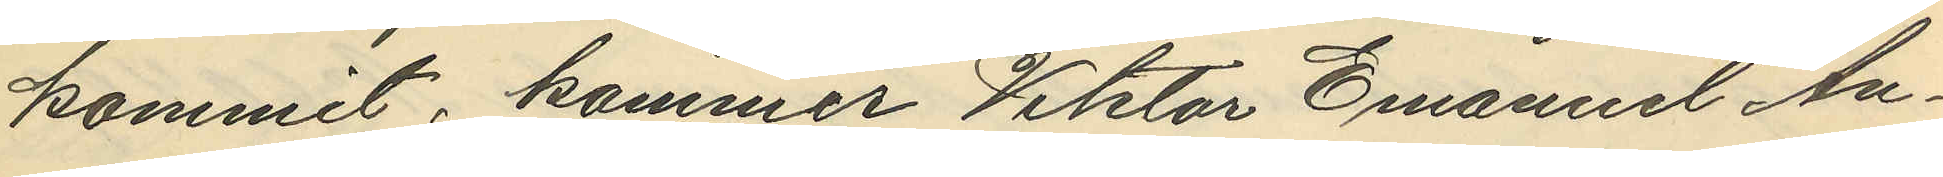kommit, kommer Viktor Emanuel An¬
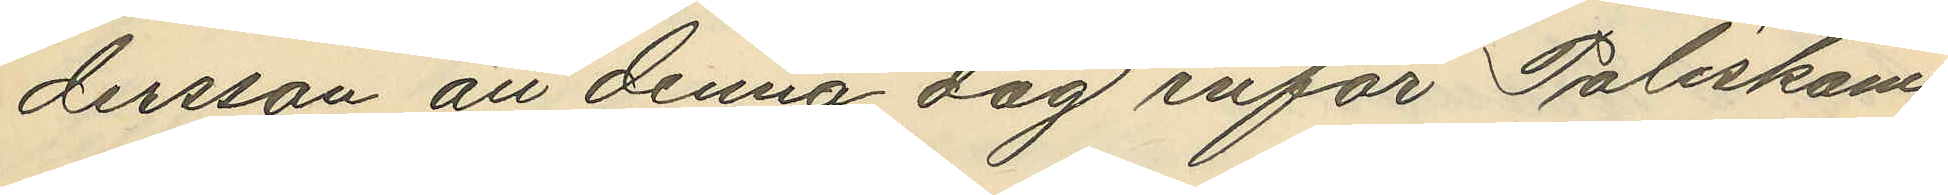dersson att denna dag inför Poliskam¬
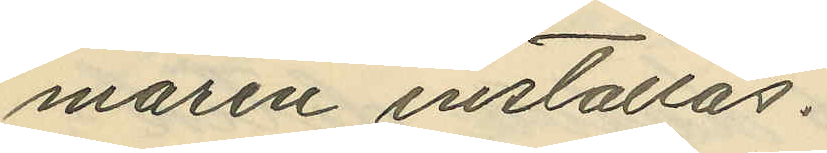maren inställas.
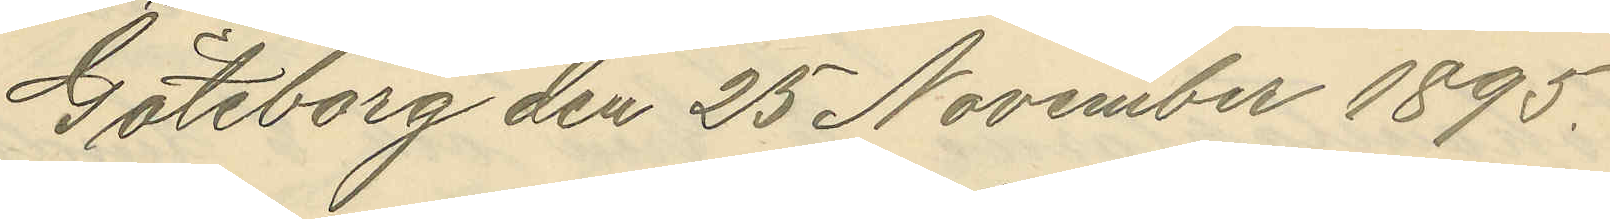Göteborg den 25 November 1895.
